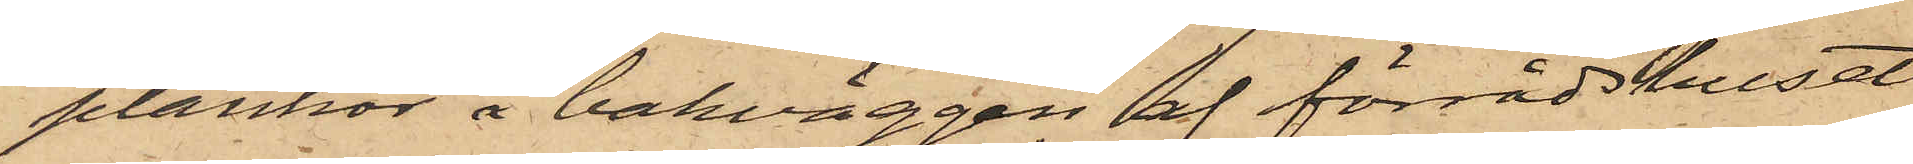plankor å bakväggen af förrådshuset,
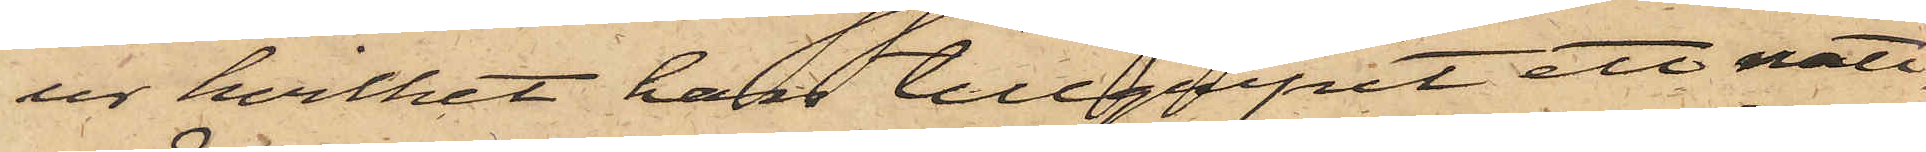ur hvilket han tillgripit ett natt¬
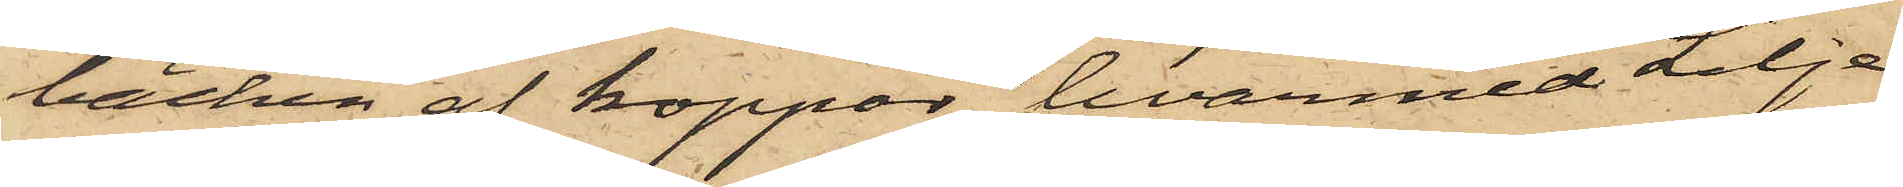bäcken af koppar, hvarmed Lilje¬
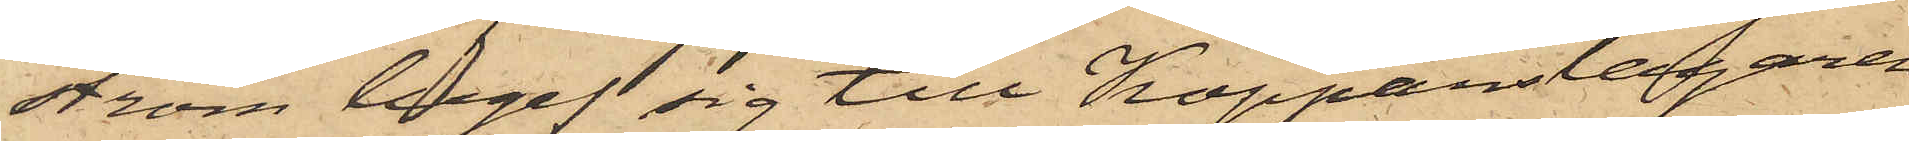ström begaf sig till Kopparslagaren
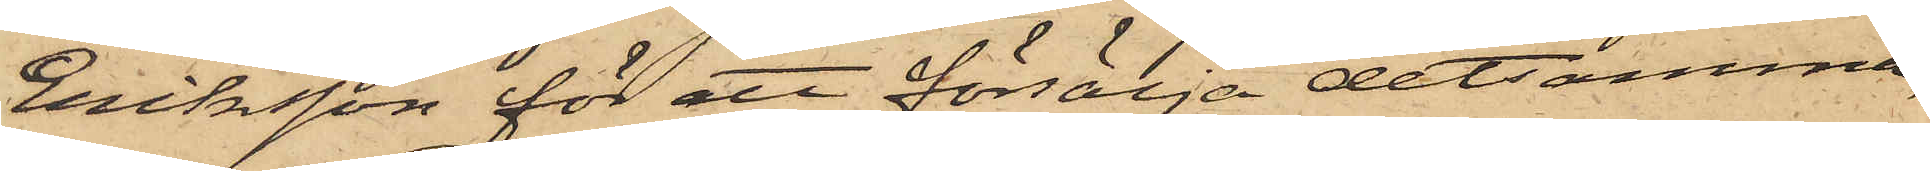Eriksson för ett försälja detsamma;
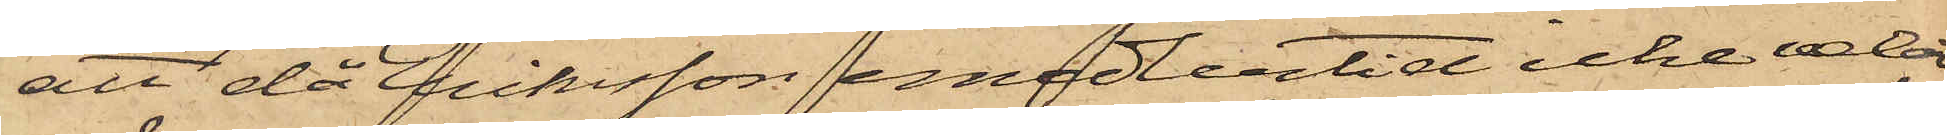att då Eriksson emedlertid icke velat
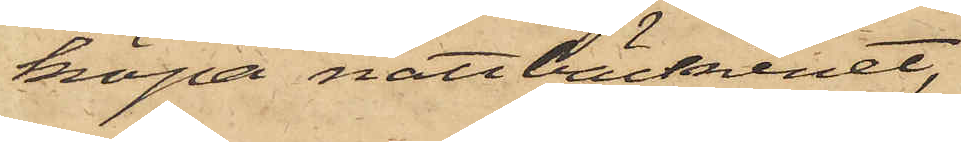köpa nattbäckenet,
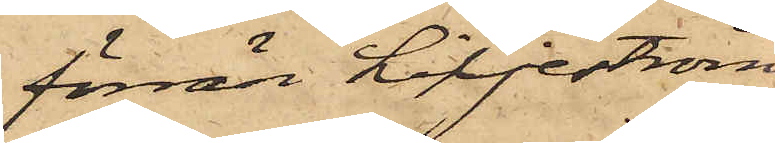förrän Liljeström
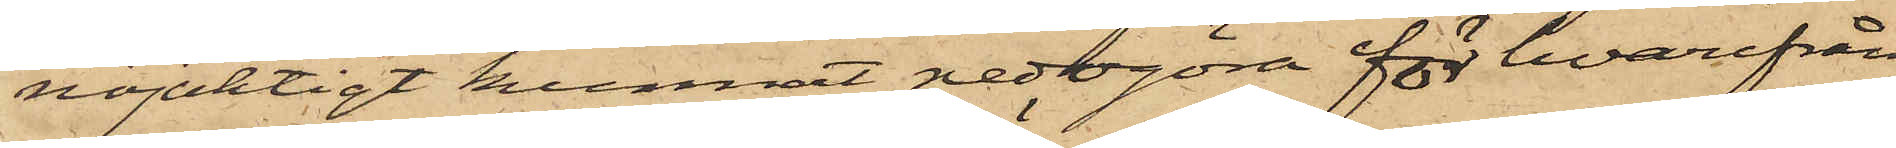nöjaktigt kunnat nedogöra för hvarifrån
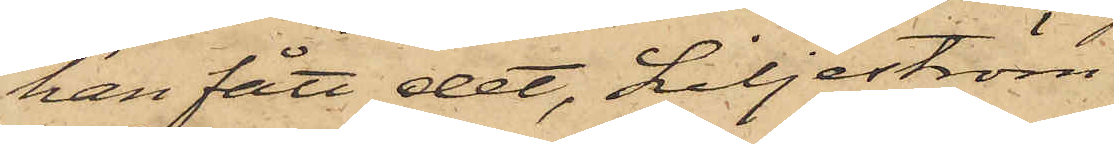han fått det, Liljeström
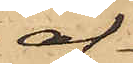af¬
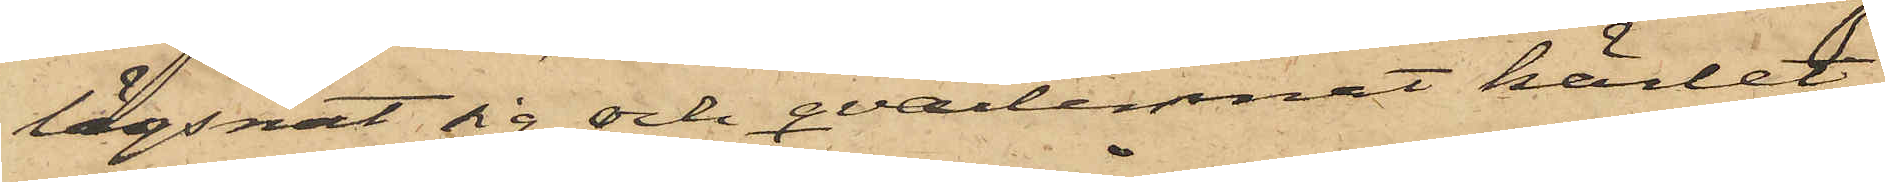lägsnat sig och qvarlemnat kärlet,
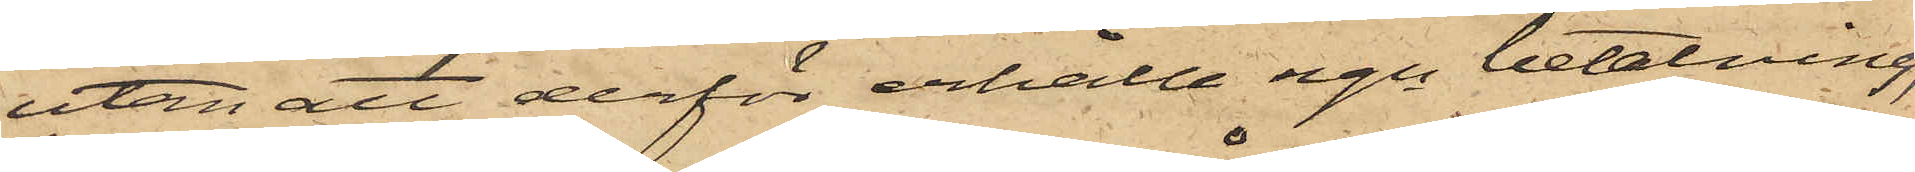utan att derför erhålla ngn betalning;
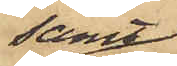samt
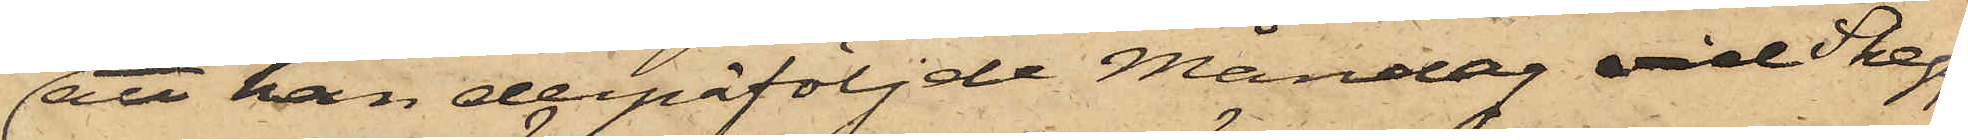att han derpåföljde Måndag vid Skepps¬
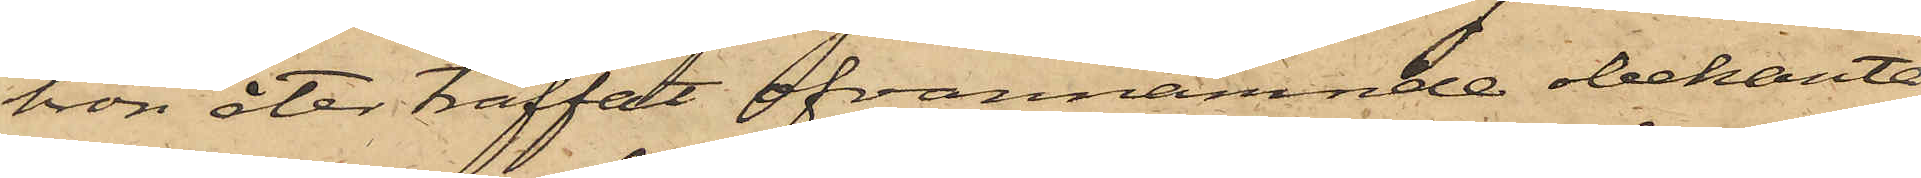bron åter träffat ofvannämnde obekanta
